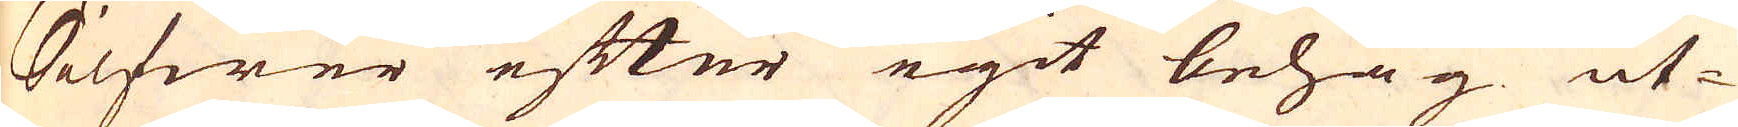Silfwer efter egit behag ut-
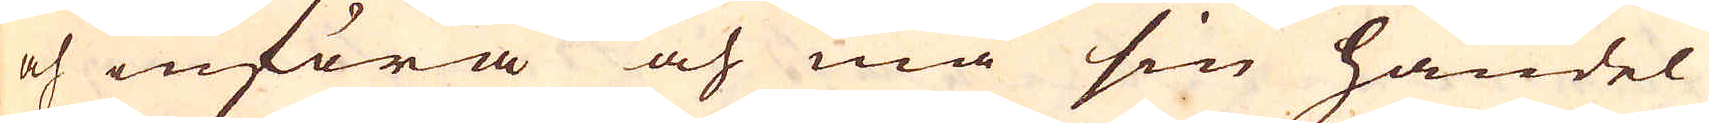och införa och må sin handel
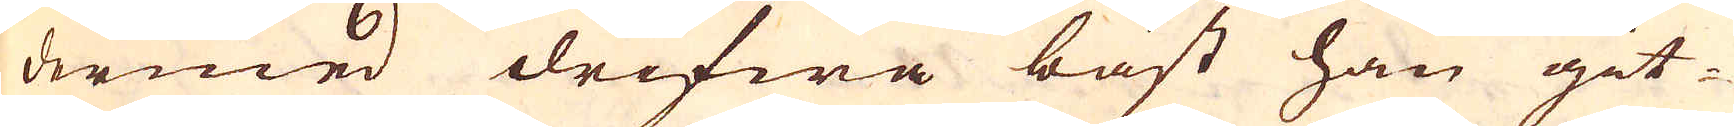dermed drifwa bäst han git-
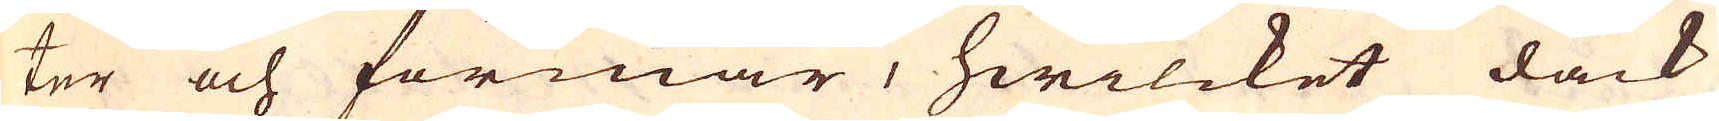ter och förmår, hwilcket dåck
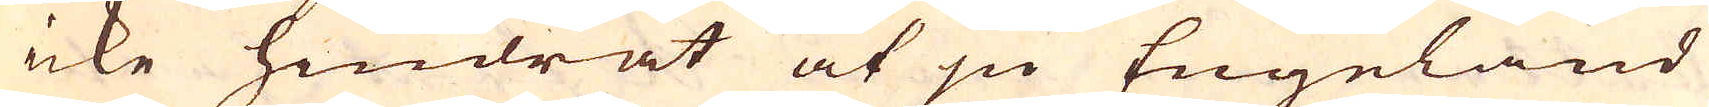icke hindrat at ju Engeland
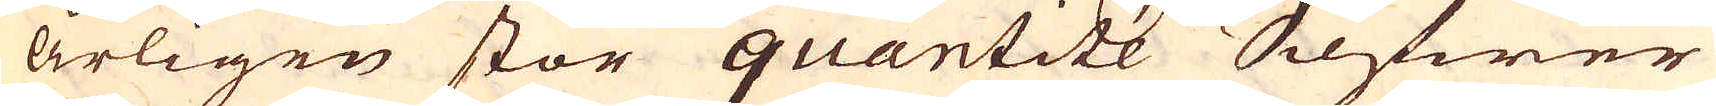årligen stor quantité Silfwer
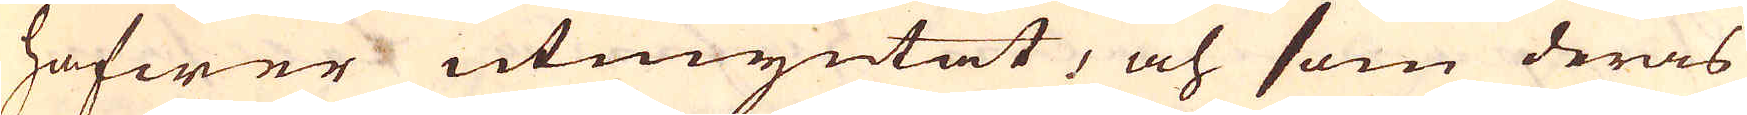hafwer utmyntat, och som deras
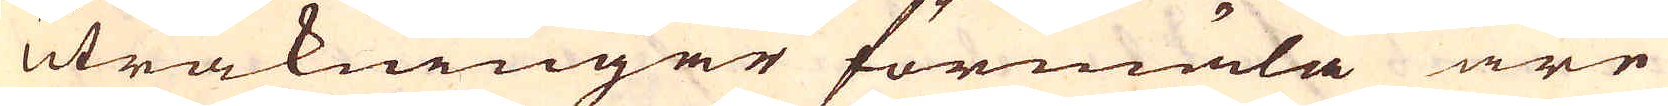uträkningar förmäla äre
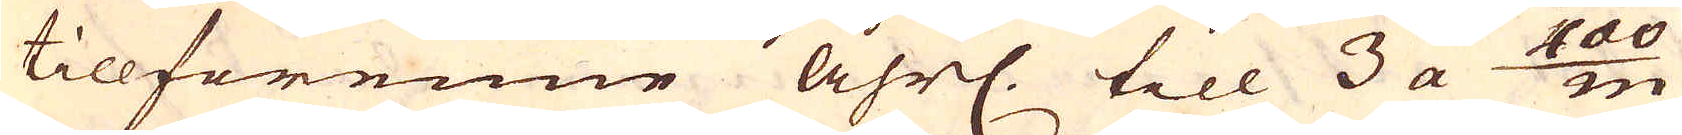tillförenne åhrl. till 3 a 400/m
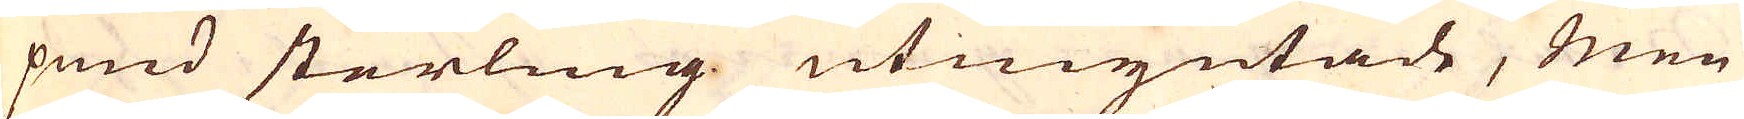pund sterling utmyntade, men
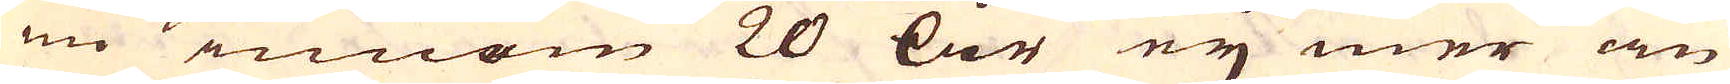nu innom 20 år ey mer än
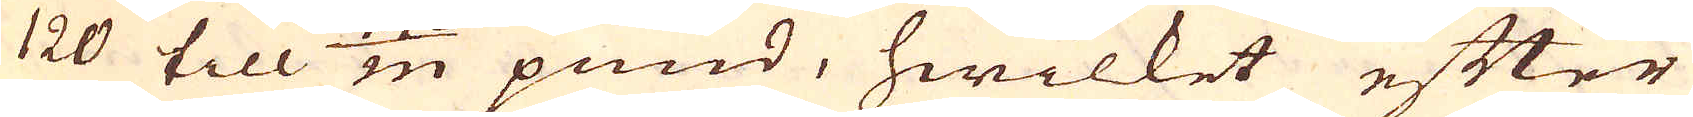120 till 140/m pund, hwilket efter
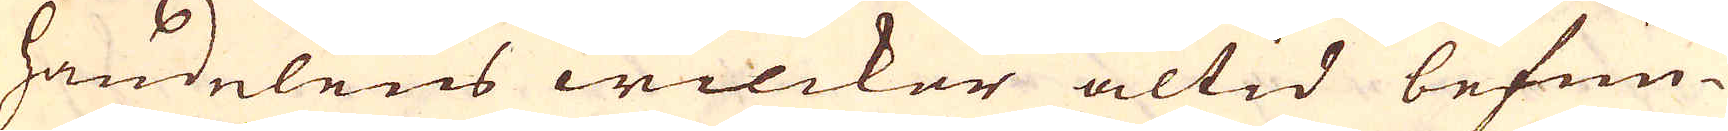handelens wilckor altid befun-
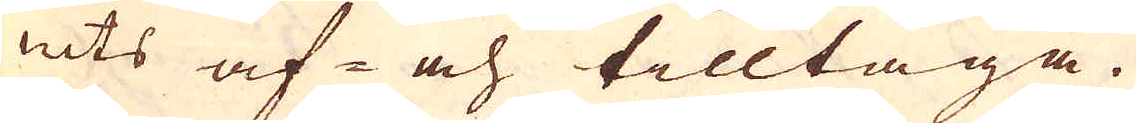nits af- och tilltaga.
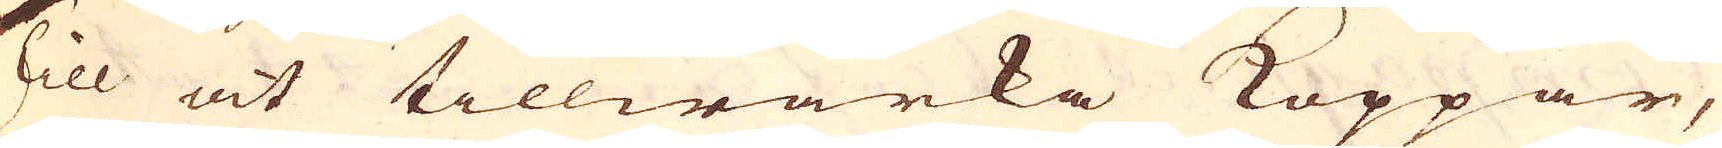Till at tillwärka Koppar,
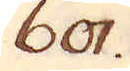601.
